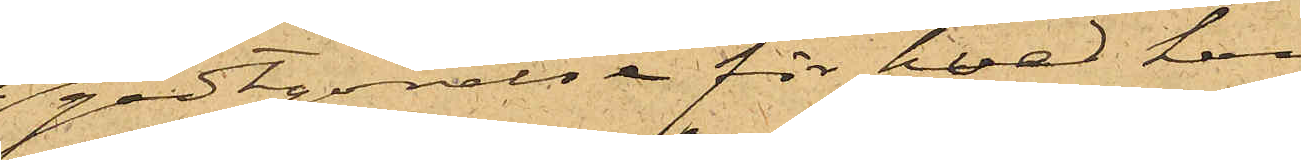godtgörelse för hvad han
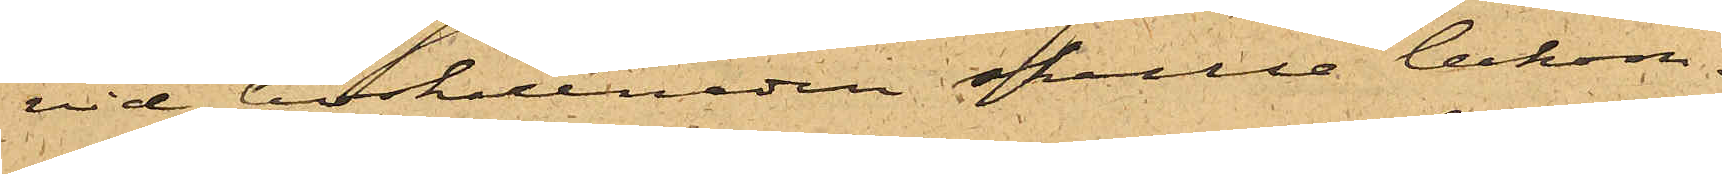vid boskillnaden skulle bekom¬
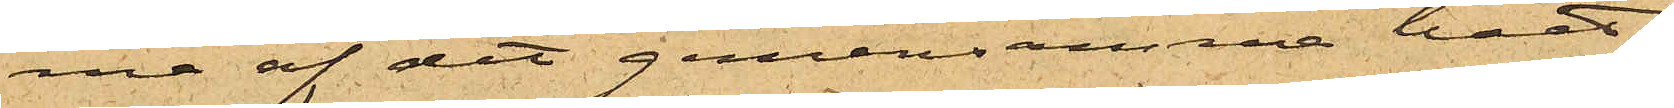ma af det gemensamma boet;
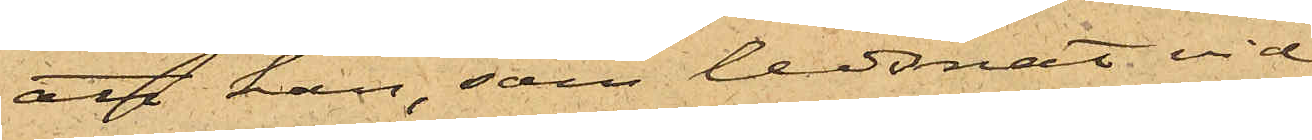att han, som ledsnat vid
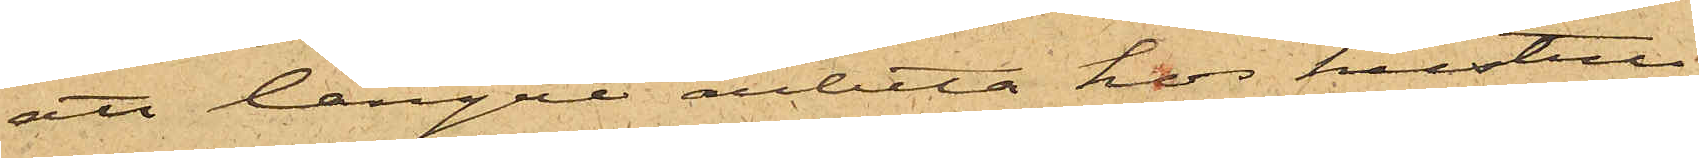att längre arbeta hos hustru
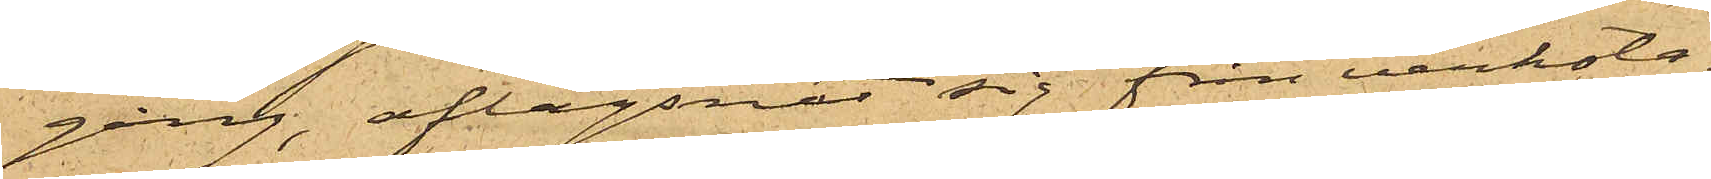gång, aflägsnat sig från verksta¬
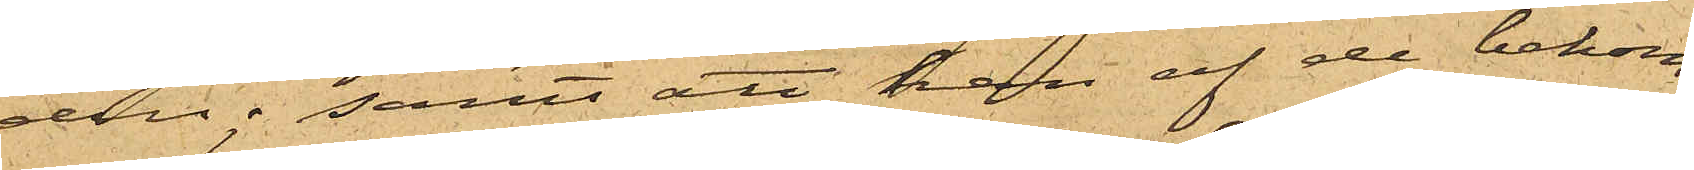den; samt att han af de bekom¬
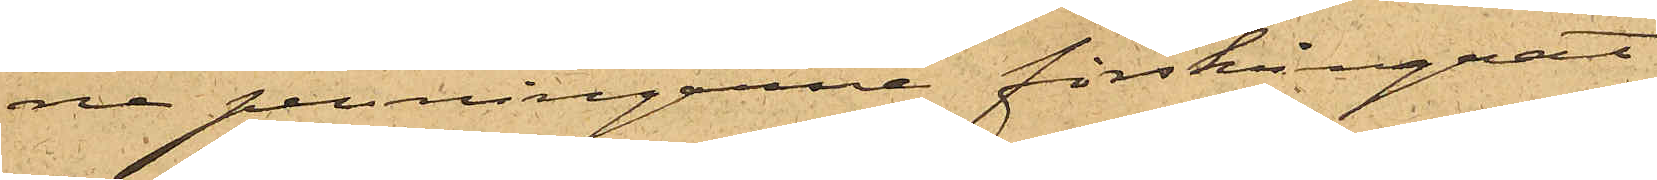ne penningarne förskingrat
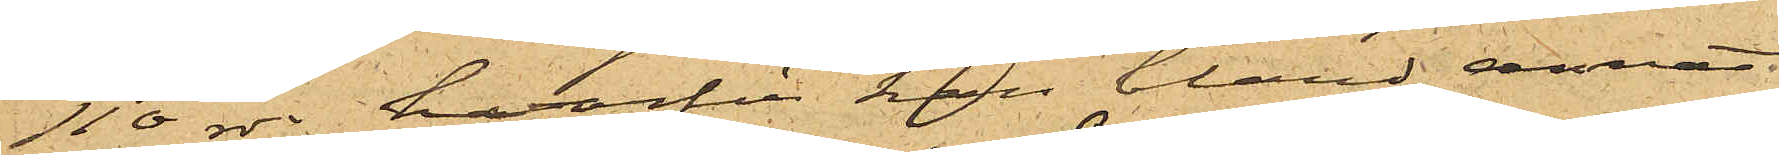110 rdr, hvarför han bland annat
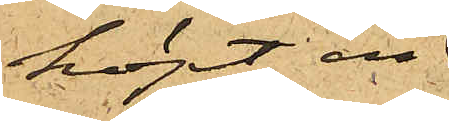köpt en
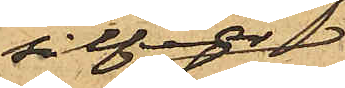silfver¬
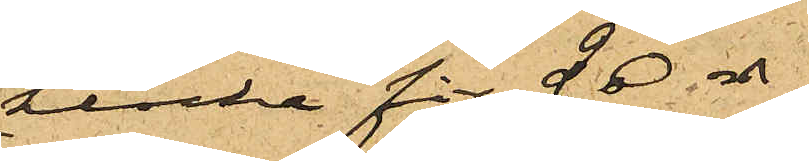klocka för 20 rdr.
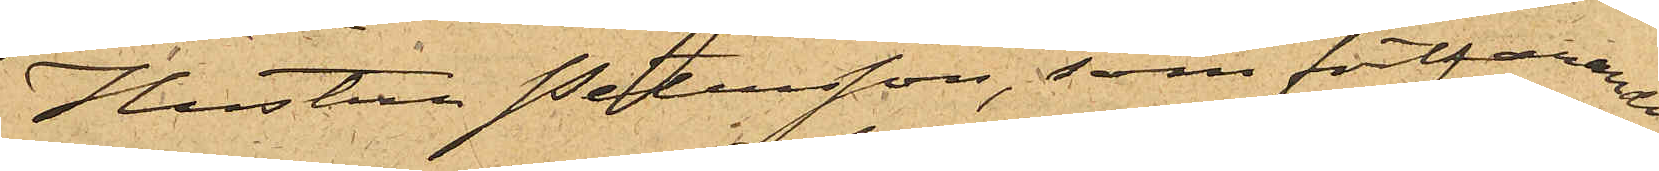Hustru Petersson, som fortfarande 
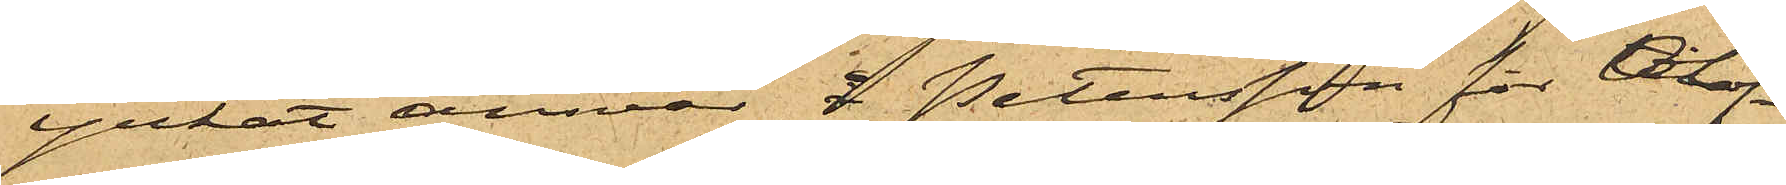yrkat ansvar å Petersson för olof¬
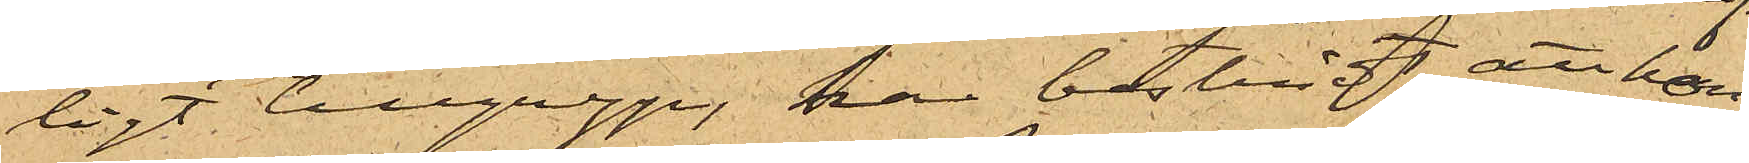ligt tillgrepp, har bestridit, att hon
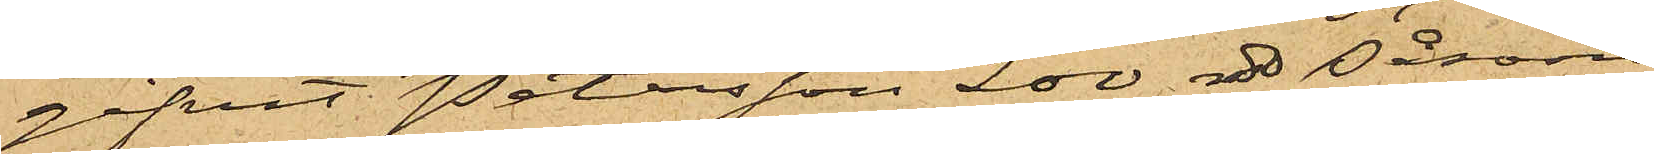gifvit Petersson 200 rdr såsom
